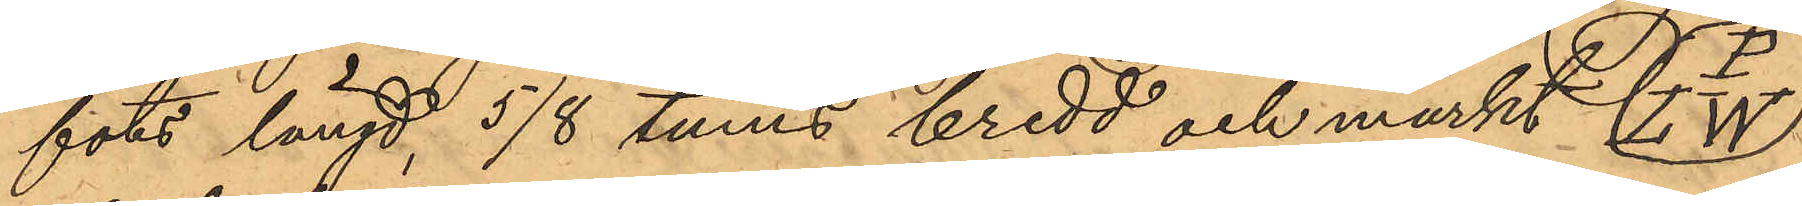fots längd, 5/8 tums bredd och märkt P/LW
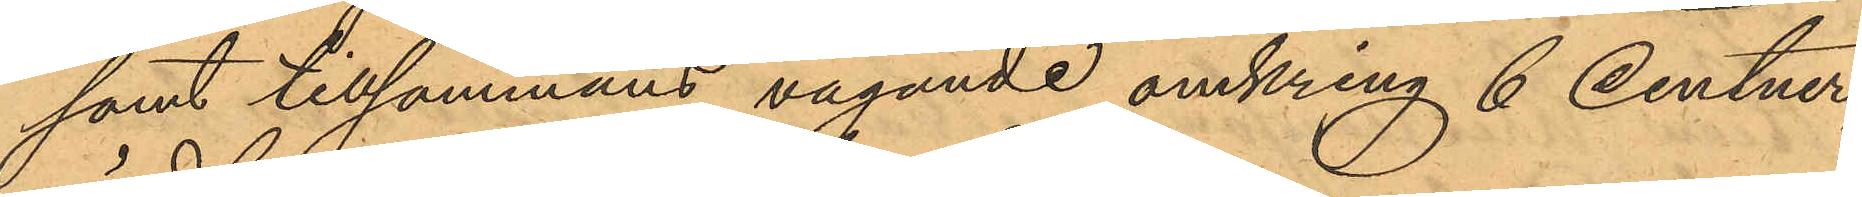samt tillsammans vägande omkring 6 centner,
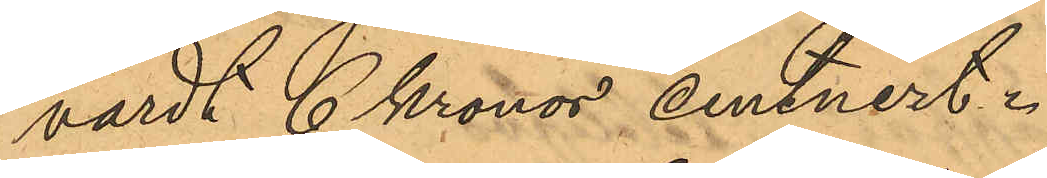värdt 6 Kronor centnert.
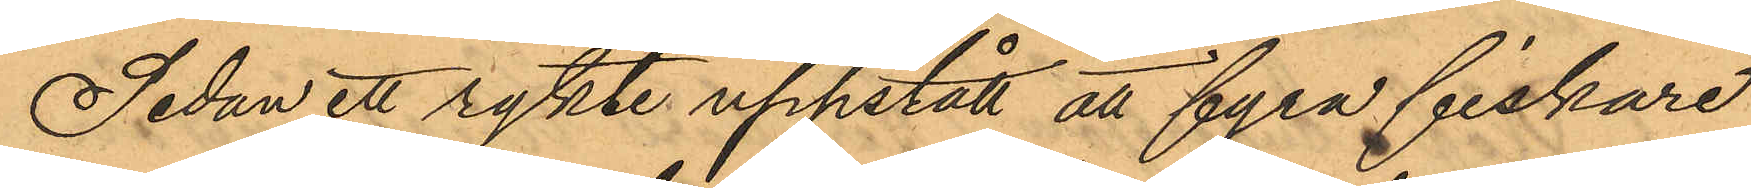Sedan ett rykte uppstått att fyra fiskare
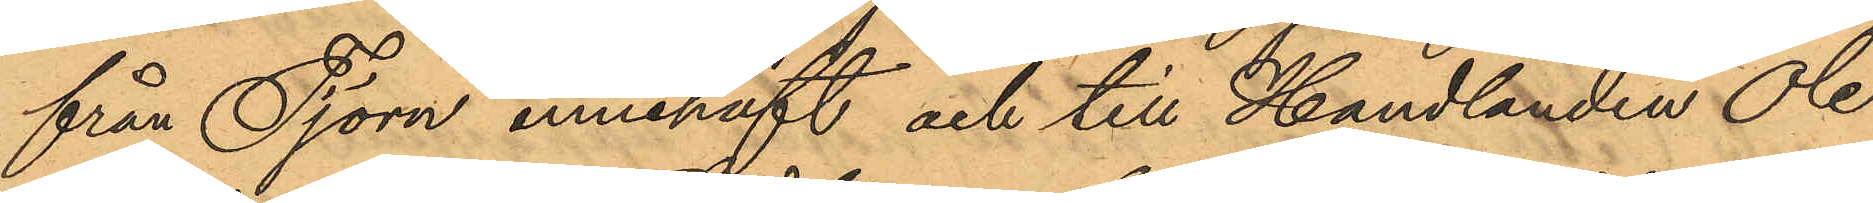från Tjörn innehaft och till Handlanden Ole
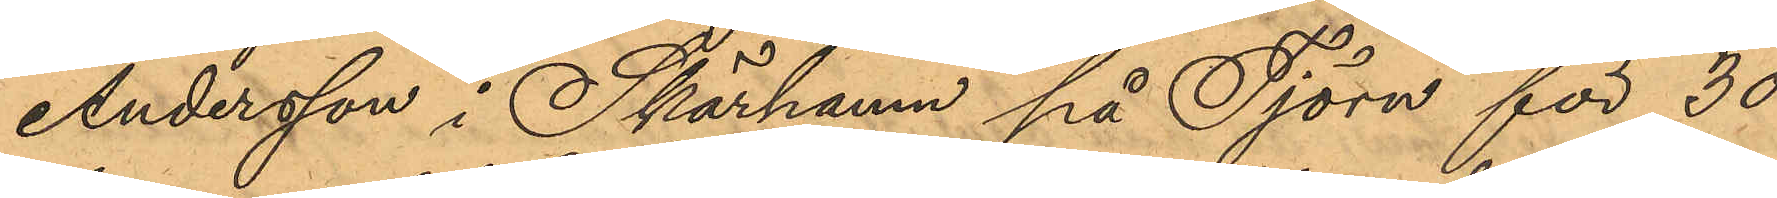Andersson i Skärhamn på Tjörn för 30
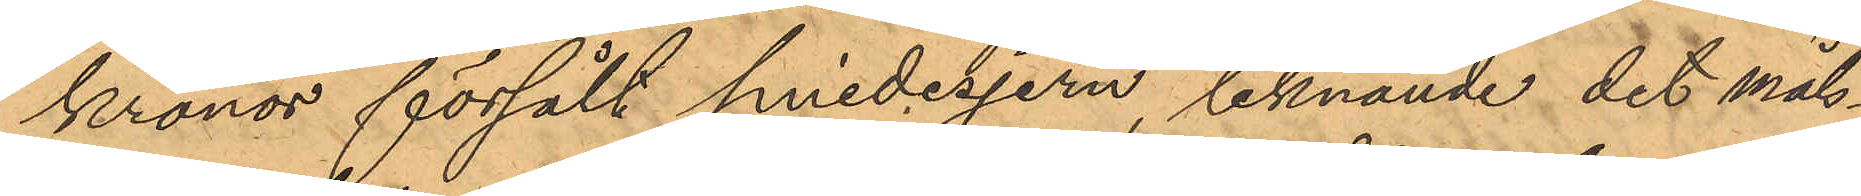kronor försålt smidesjern, liknande det måls¬
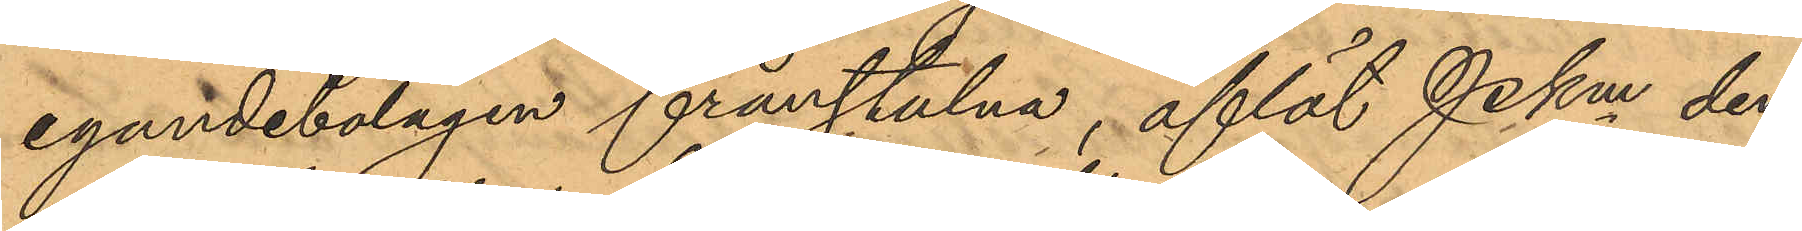egandebolagen frånstulna, aflät Pkm den
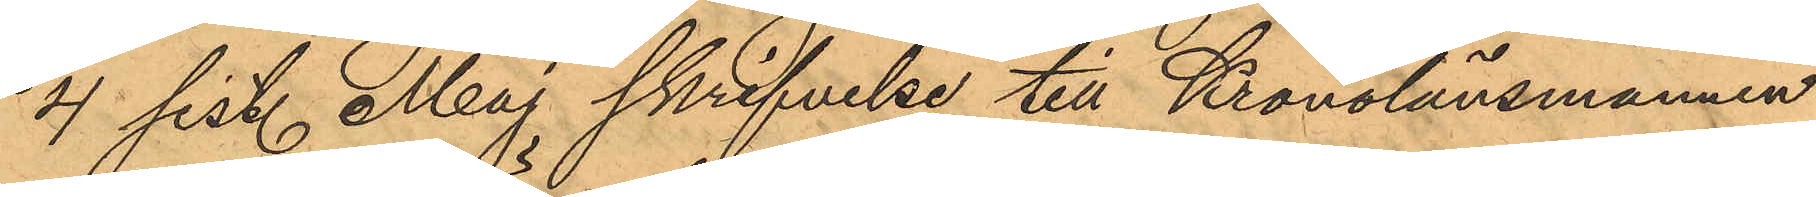4 sist. Maj skrifvelse till Kronolänsmannen
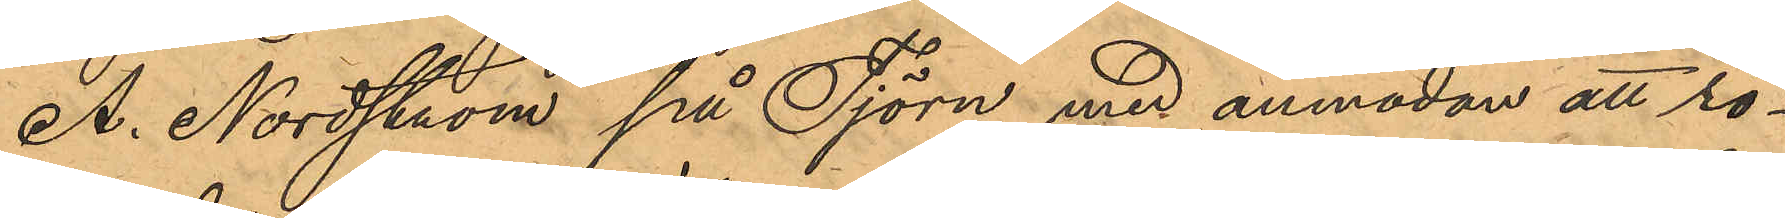A. Nordström på Tjörn, med anmodan att rö¬
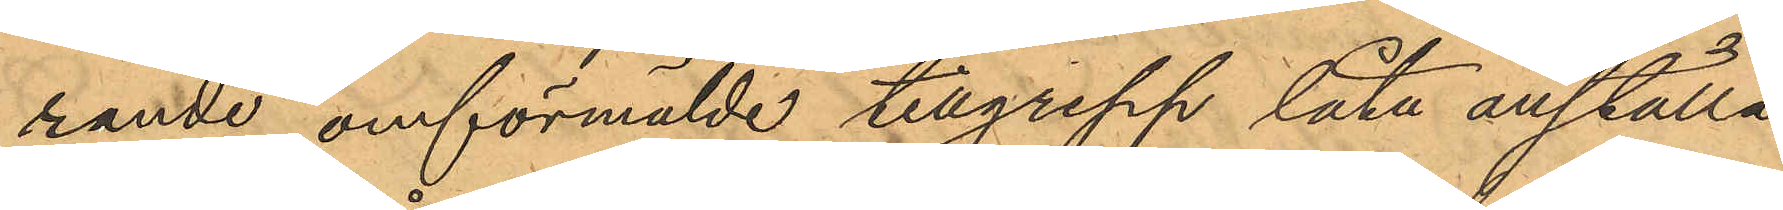rande omförmälde tillgrepp låta anställa
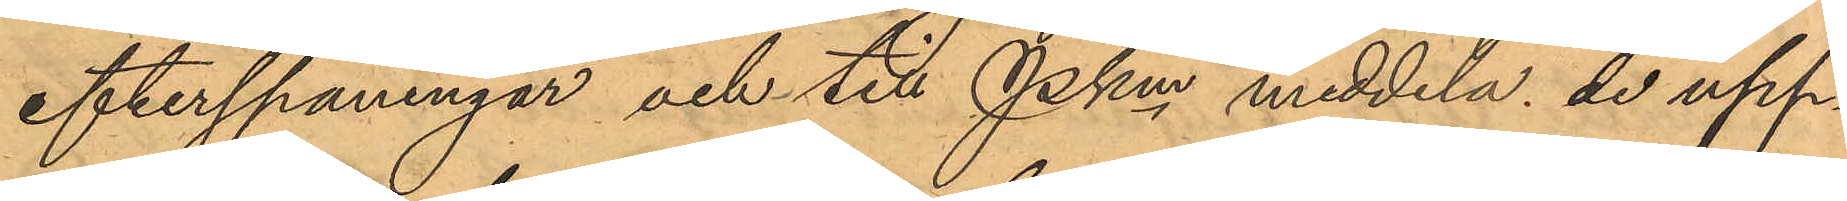efterspaningar och till PKm meddela de upp¬
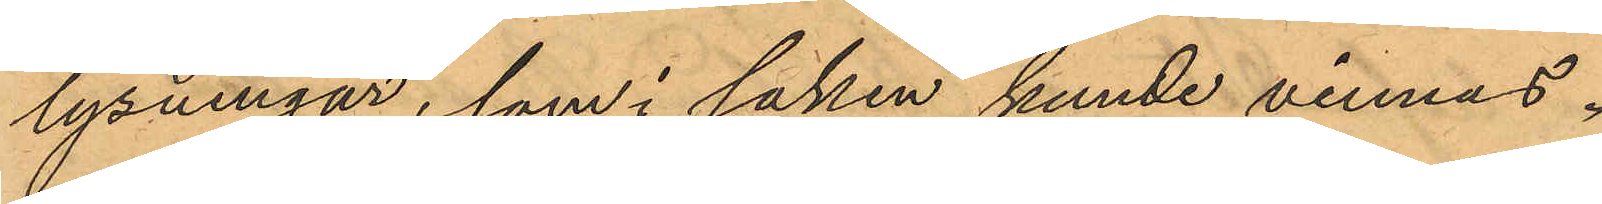lysningar, som i saken kunde vinnas.
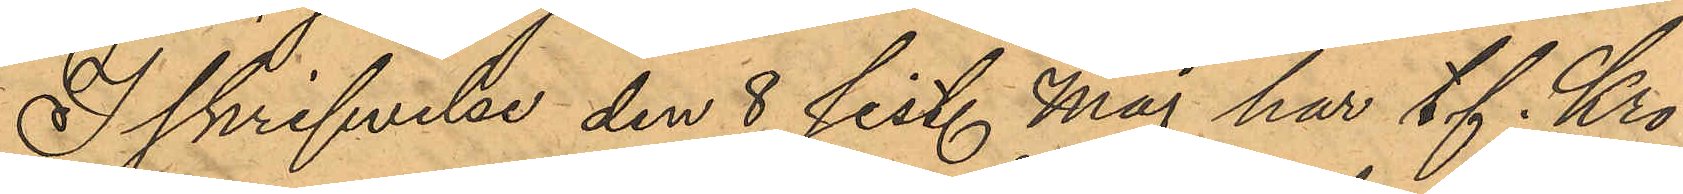I skrifvelse den 8 sist. Maj har tf Kro¬
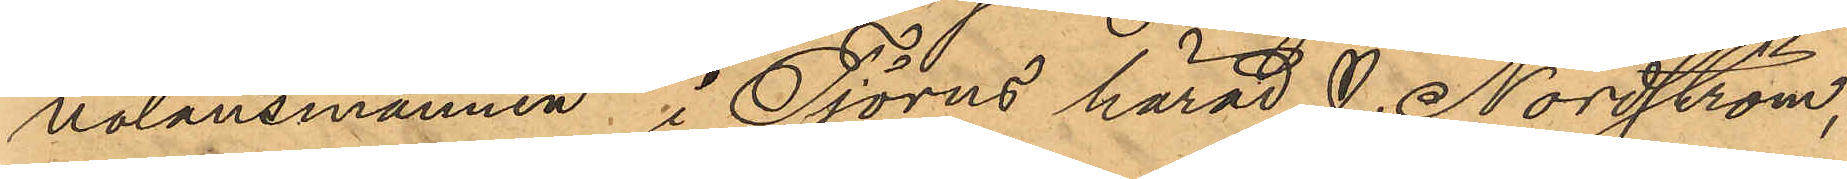nolänsmannen i Tjörns härad J. Nordström,
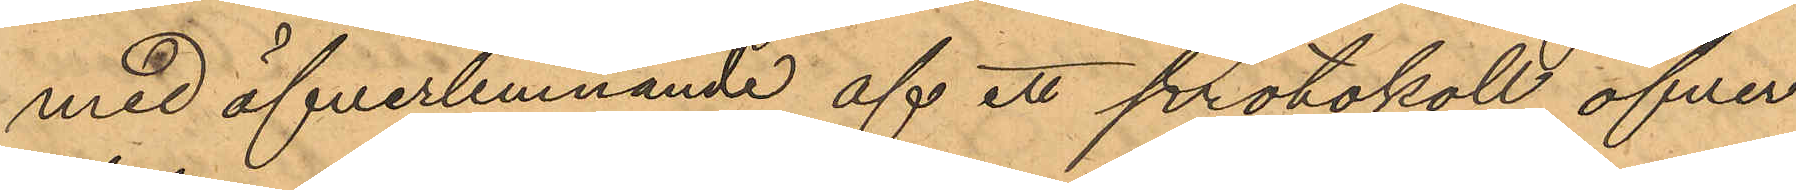med öfverlemnande af ett protokoll öfver
